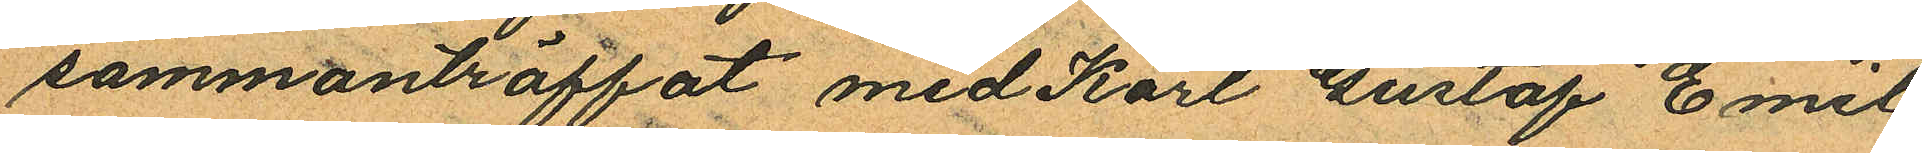sammanträffat med Karl Gustaf Emil
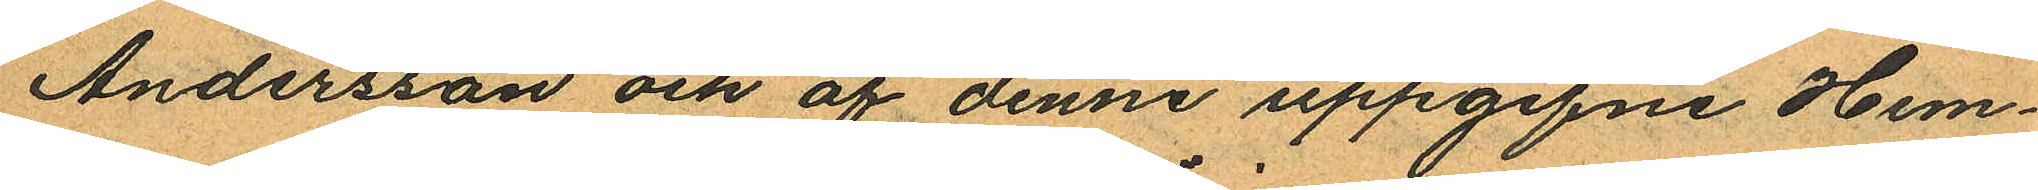Andersson och af denne uppgifne Hem¬
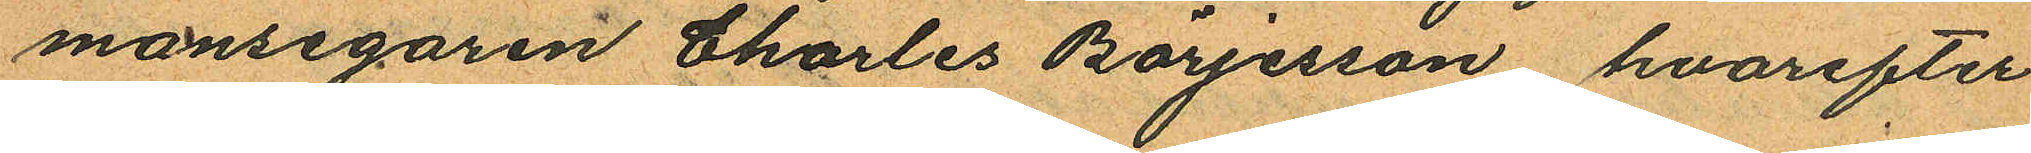mansegaren Charles Börjesson, hvarefter
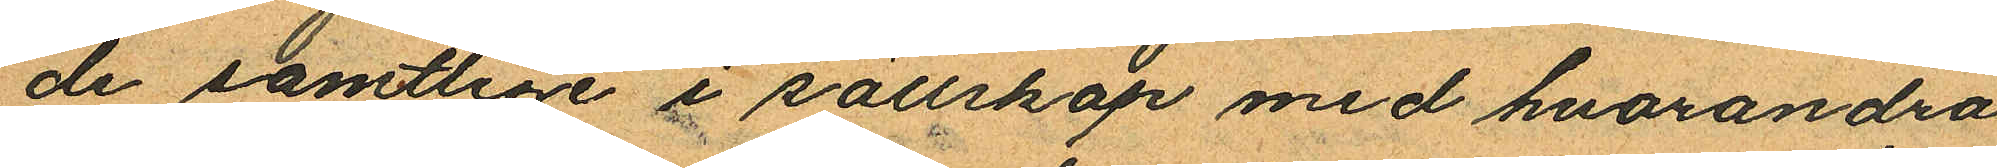de samtlige i sällskap med hvarandra
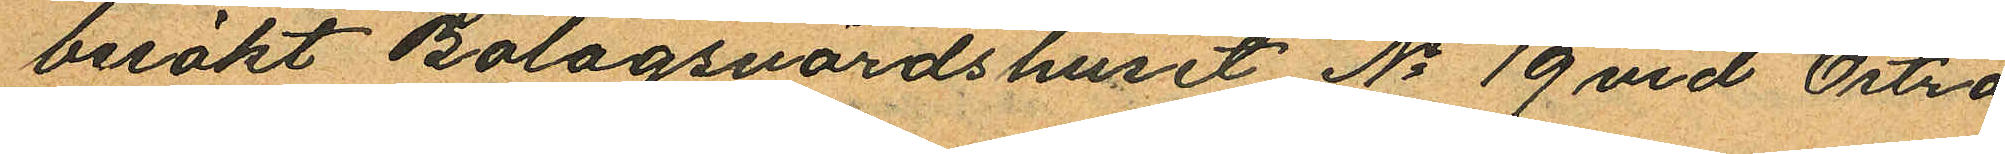besökt Bolagsvärdshuset No 19 vid Östra
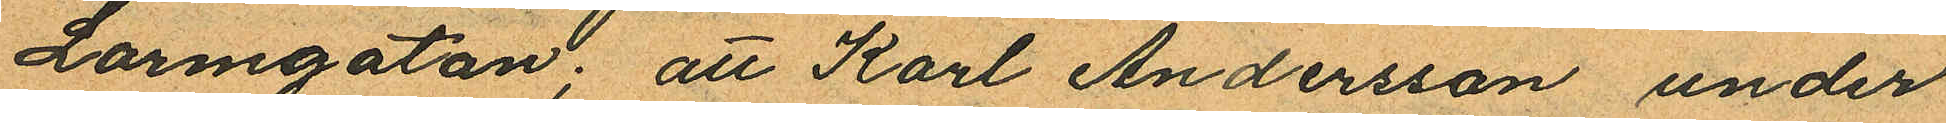Larmgatan; att Karl Andersson under
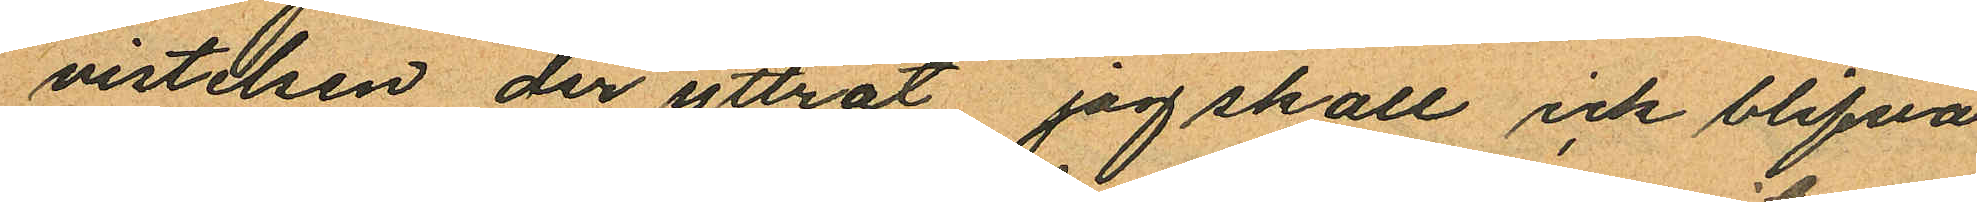vistelsen der yttrat jag skall ick blifva
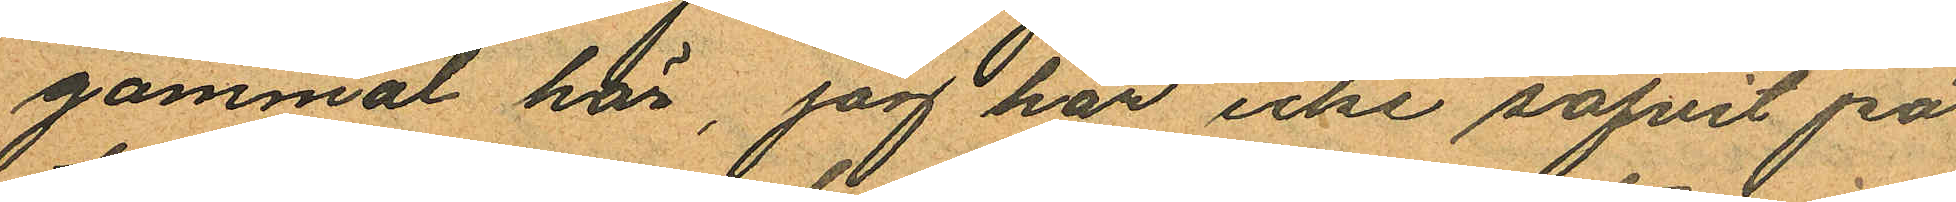gammal här, jag har icke sofvit på
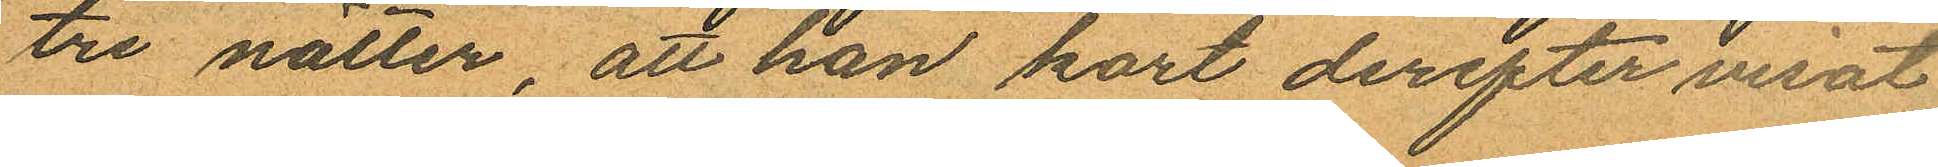tre nätter, att han kort derefter visat
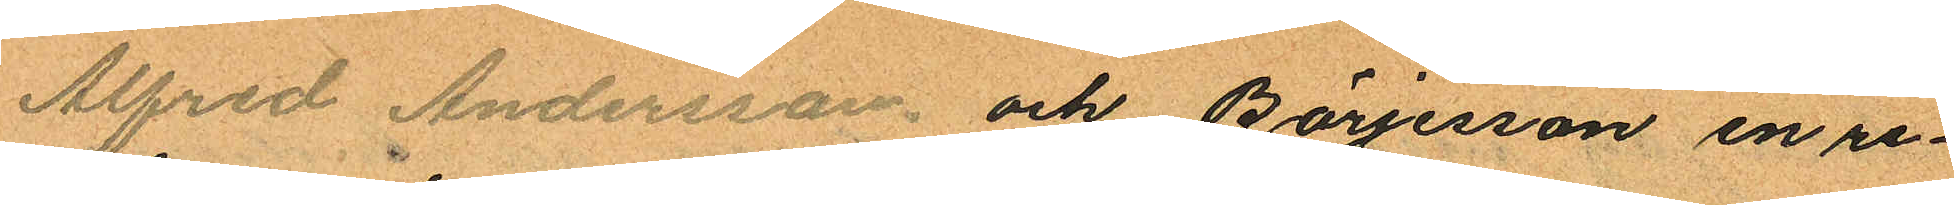Alfred Andersson och Börjesson en re¬
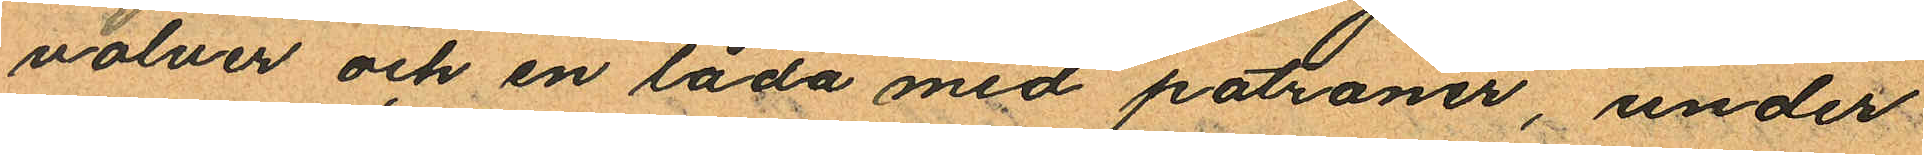volver och en låda med patroner, under
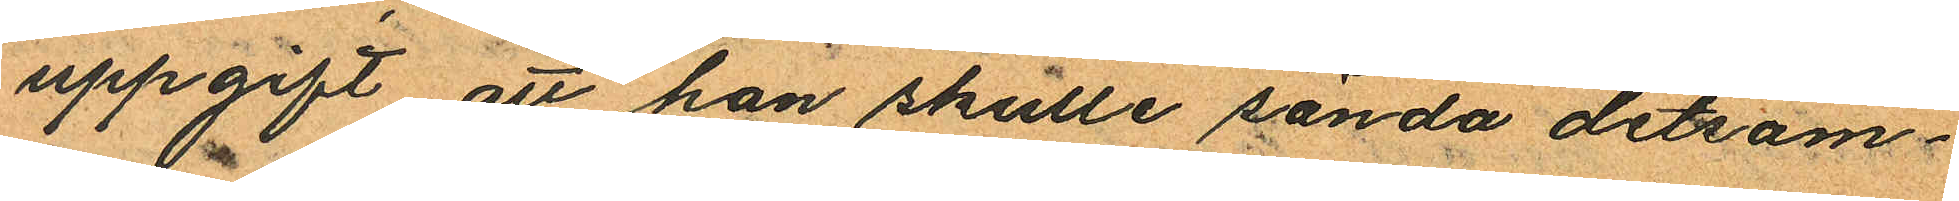uppgift att han skulle sända detsam¬
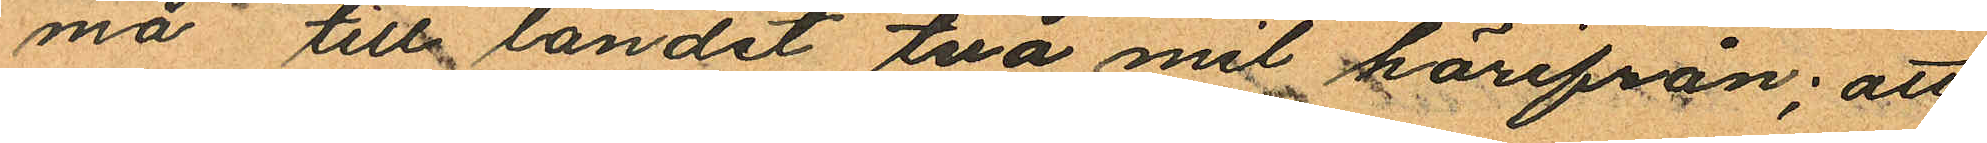ma till landet två mil härifrån; att
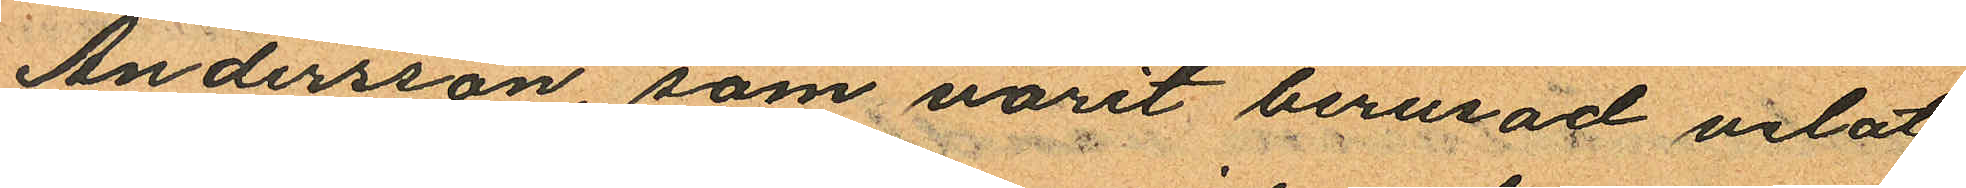Andersson som varit berusad velat
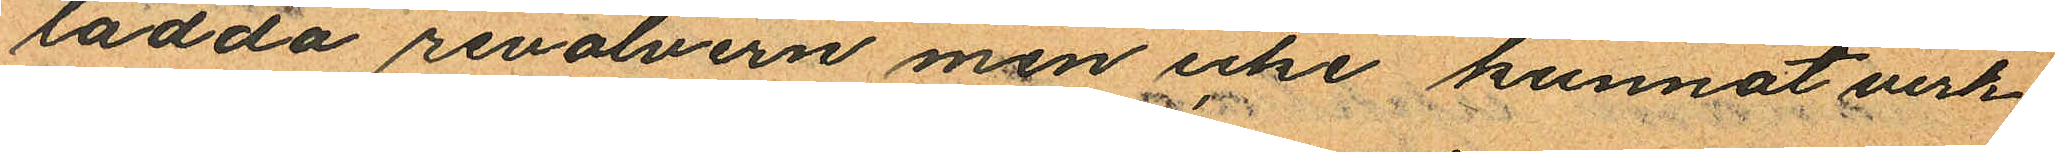ladda revolvern men icke kunnat verk
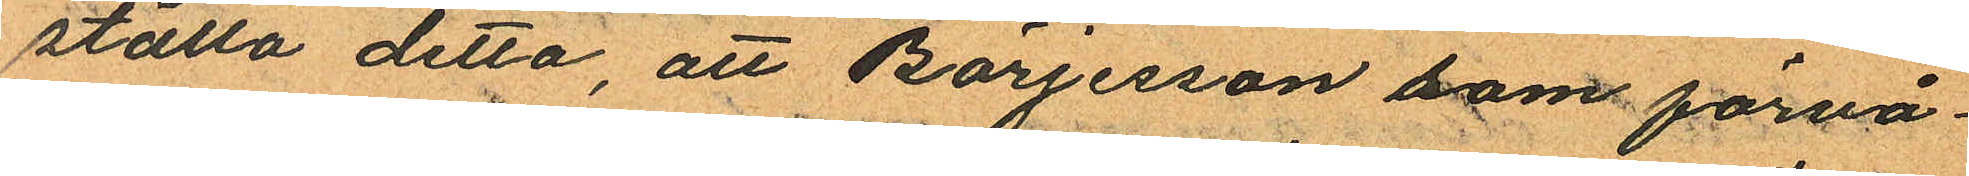ställa detta, att Börjesson som förvå
